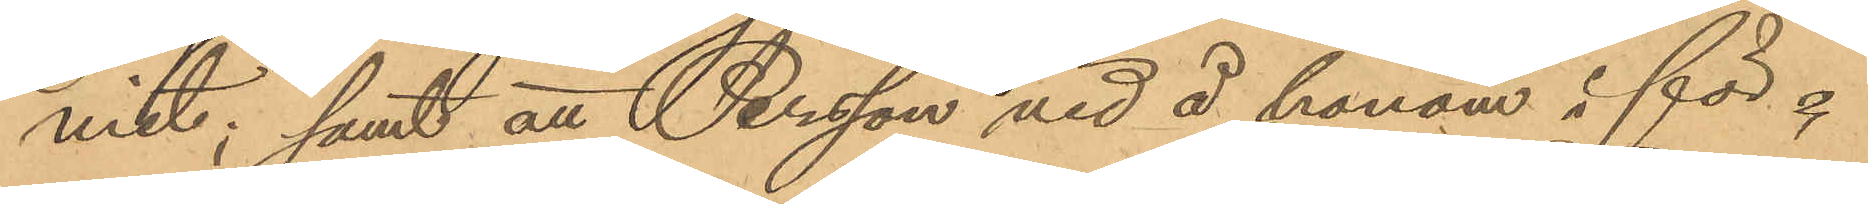mit; samt att Persson vid å honom i för¬
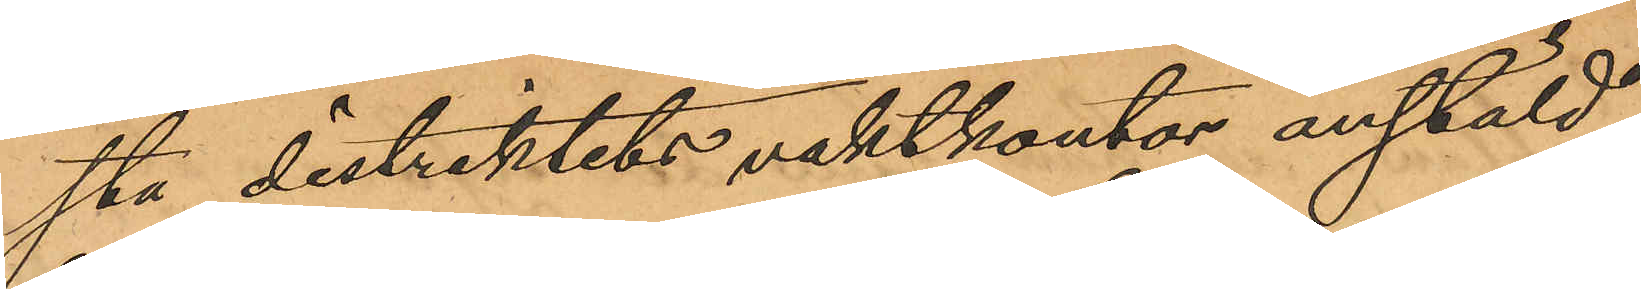sta distriktets vaktkontor anstäld
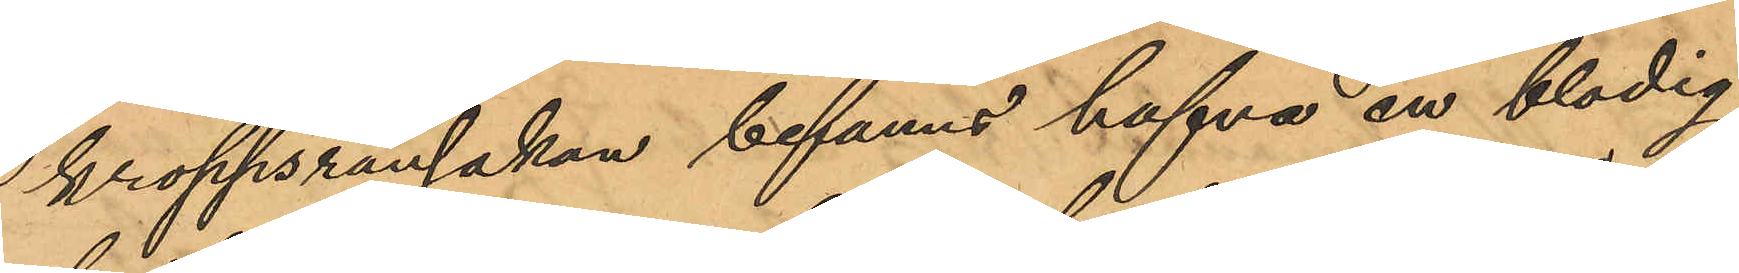kroppsransakan befanns hafva en blodig
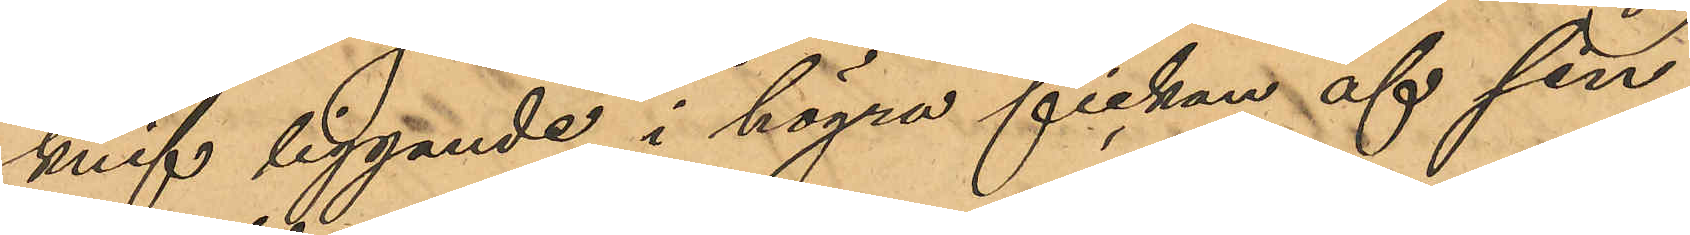knif liggande i högra fickan af sin
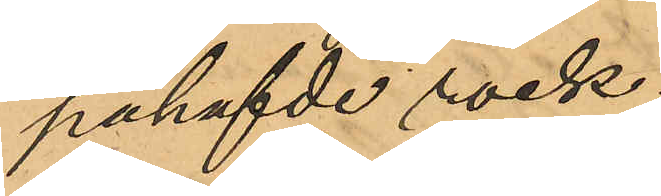påhafvde rock;
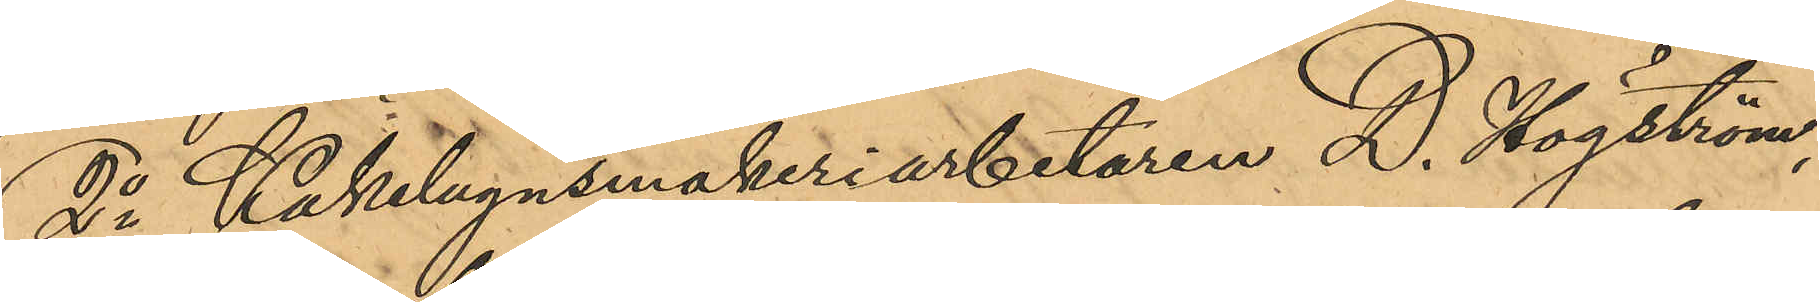2o Kakelugnsmakeriarbetaren D. Högström,
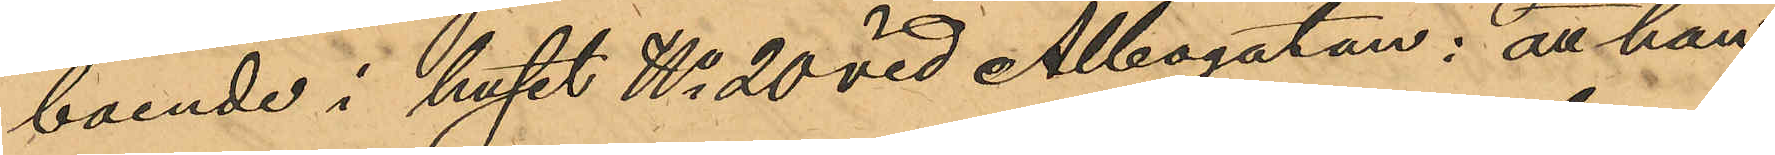boende i huset No 20 vid Albogatan: att han
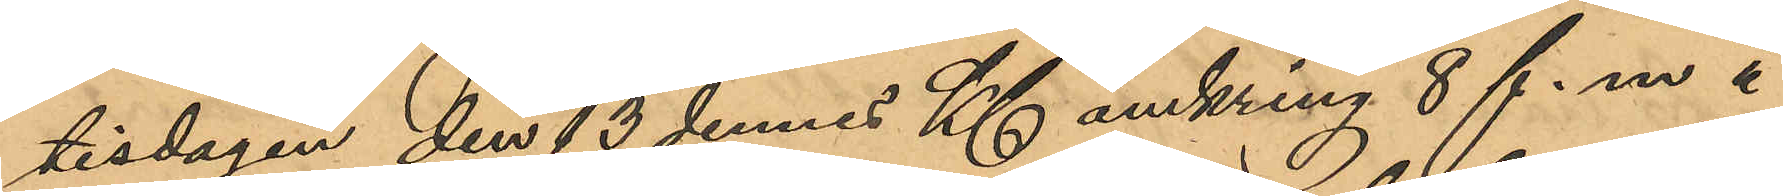tisdagen den 13 dennes Kl omkring 8 f.m å
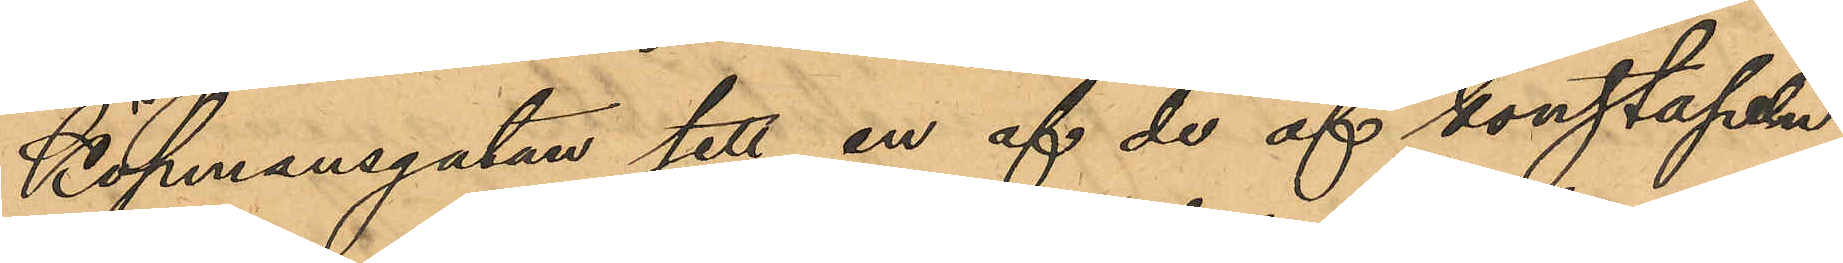Köpmansgatan sett en af de af konstapeln
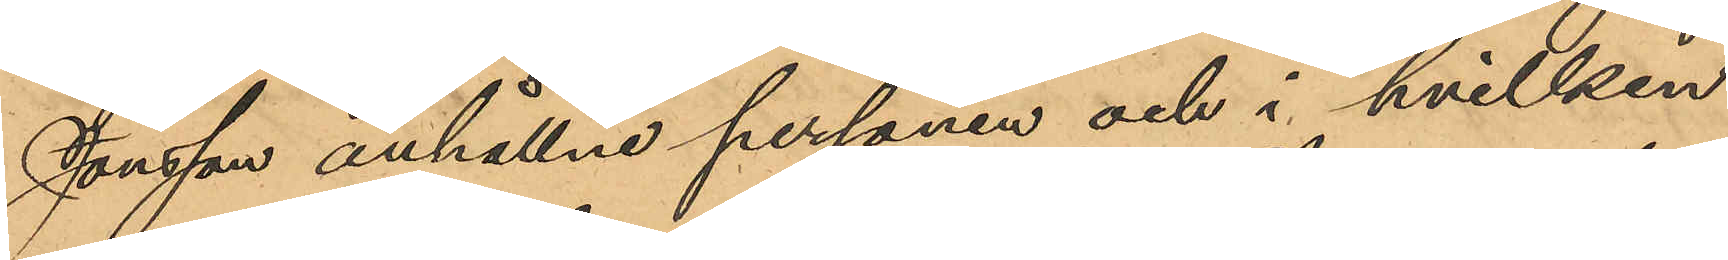Jonsson anhållne personen och i hvilken
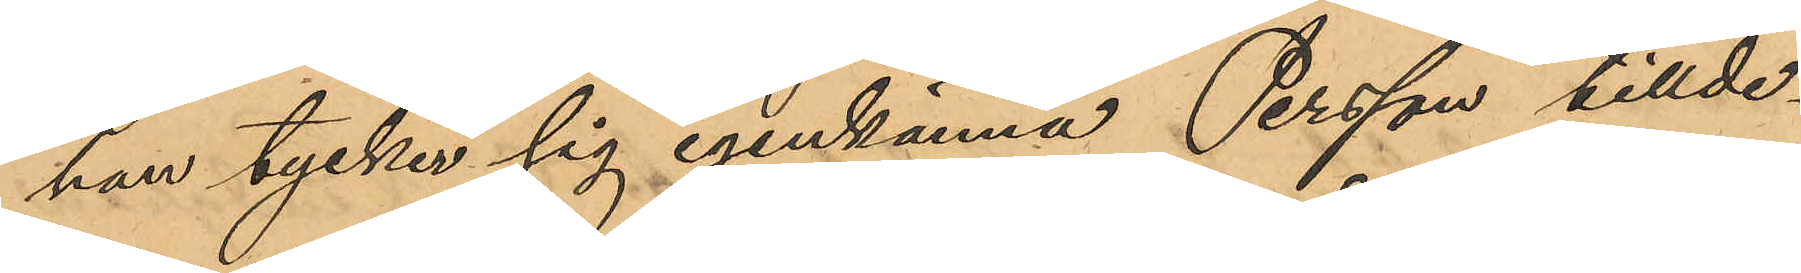han tycker sig igenkänna Persson tillde¬
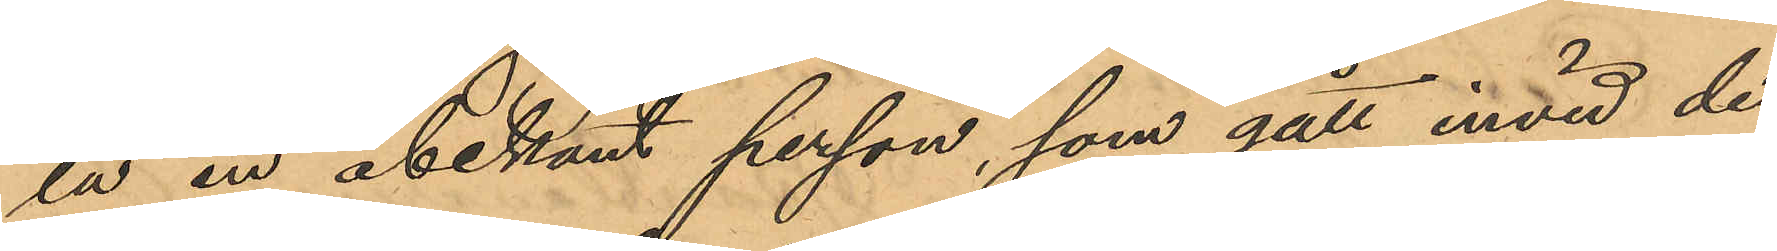la en obekant person, som gått invid de
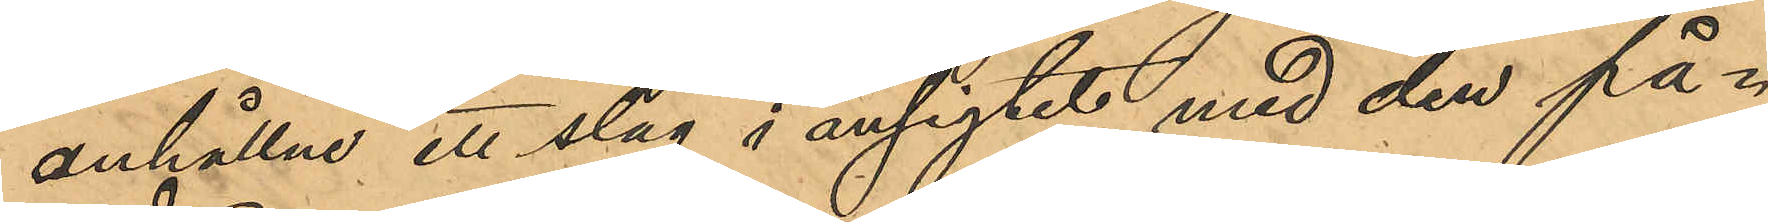anhållne ett slag i ansigtet med den på¬
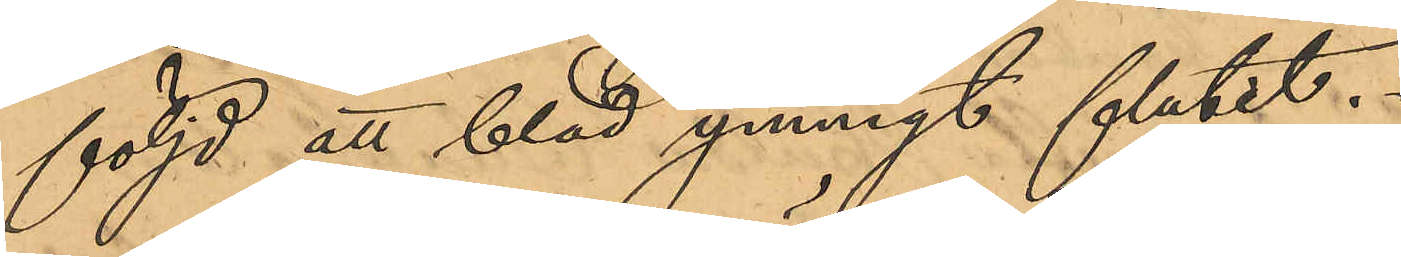följd att blod ymnigt flutit.
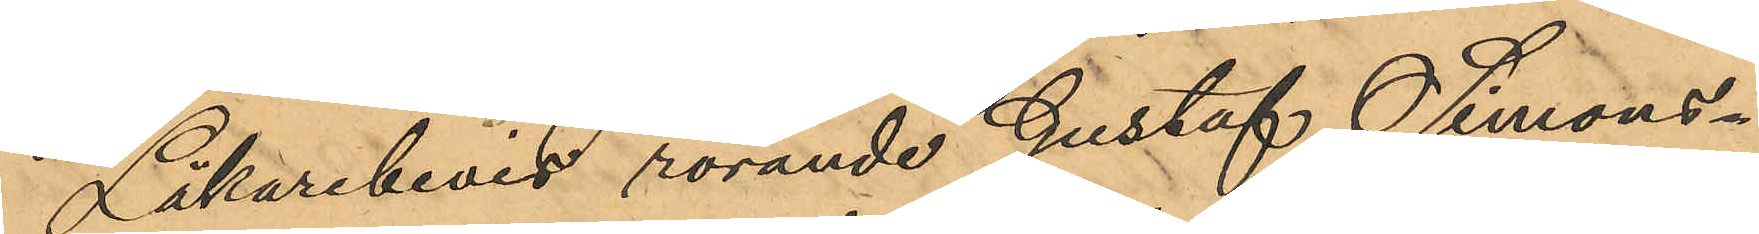Läkarebevis rörande Gustaf Simons¬
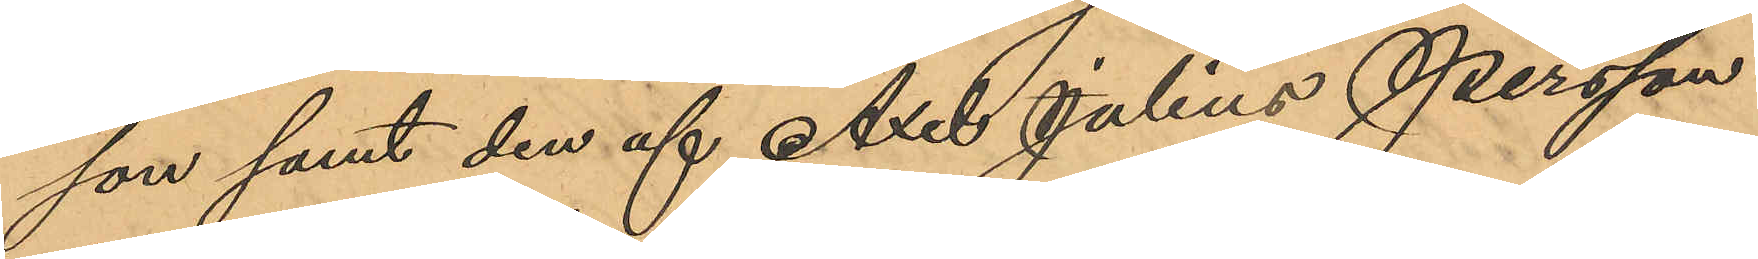son samt den af Axel Julius Persson
